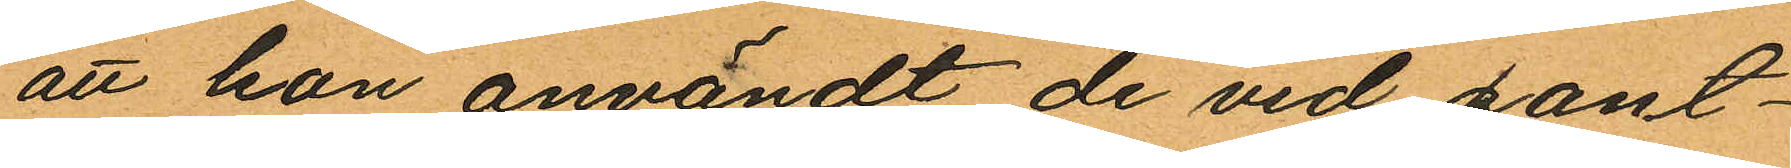att hon användt de vid pant¬
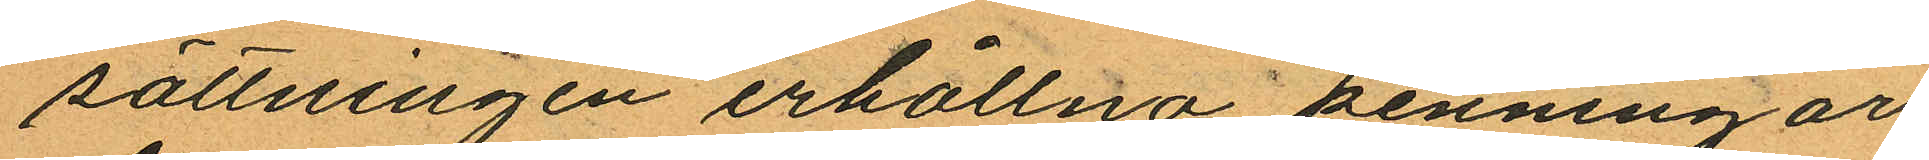sättningen erhållna penningar
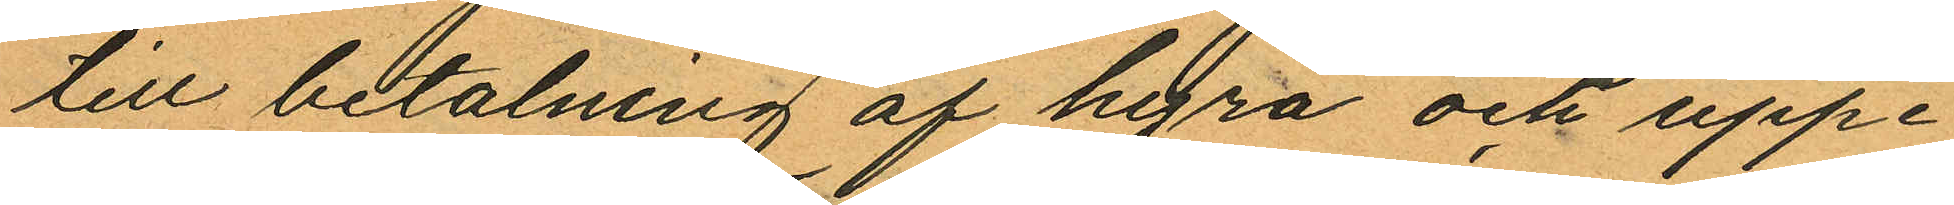till betalning af hyra och uppe
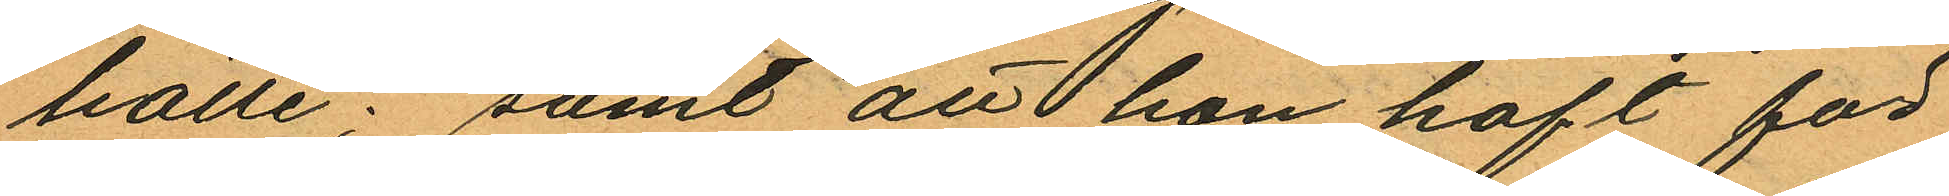hälle; samt att hon haft för
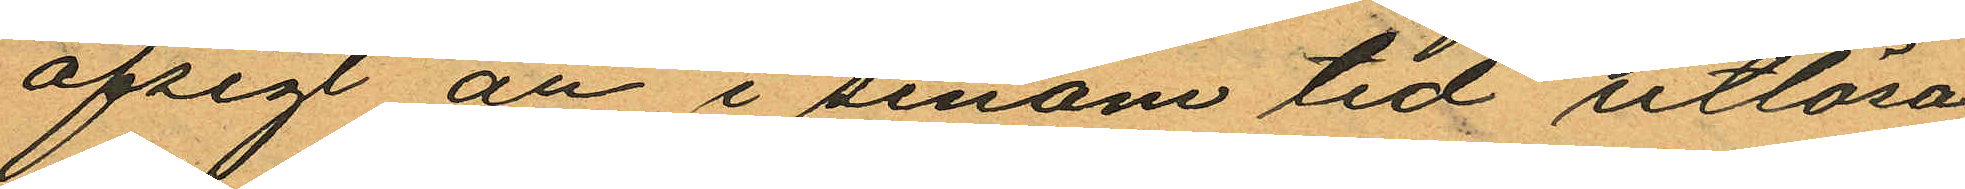afsigt att i sinom tid utlösa
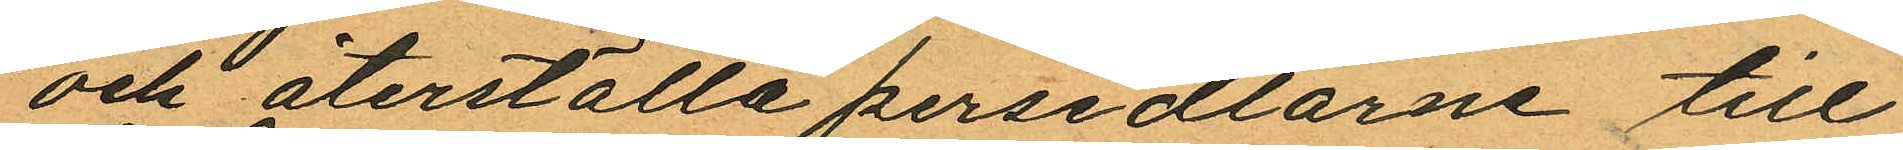och återställa persedlarne till
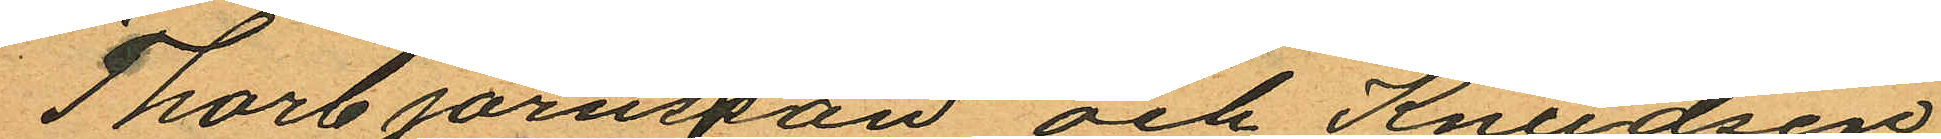Thorbjörnsson och Knudsen
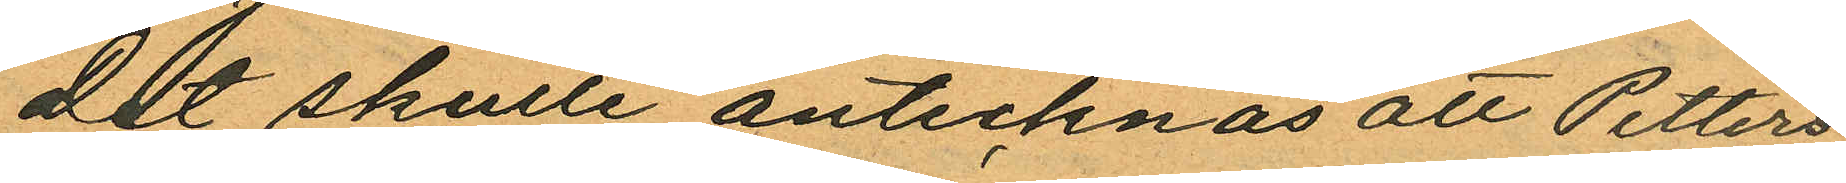Det skulle antecknas att Petters
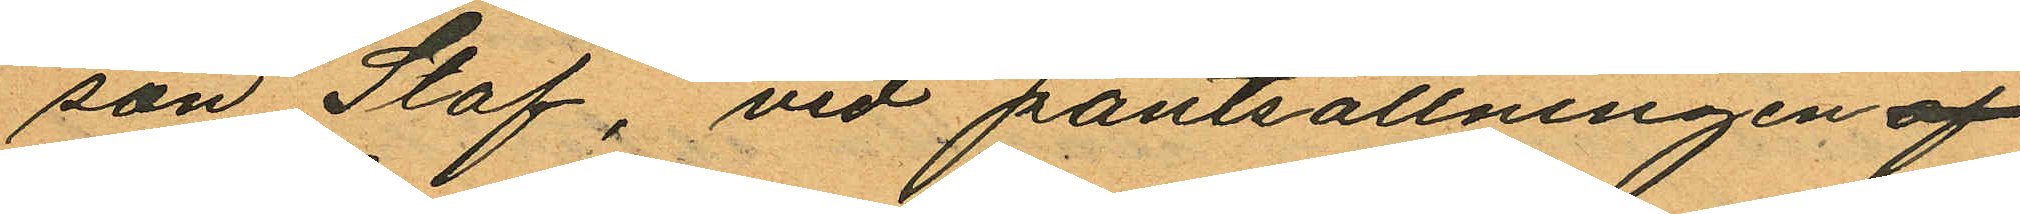son Staf, vid pantsättningen af
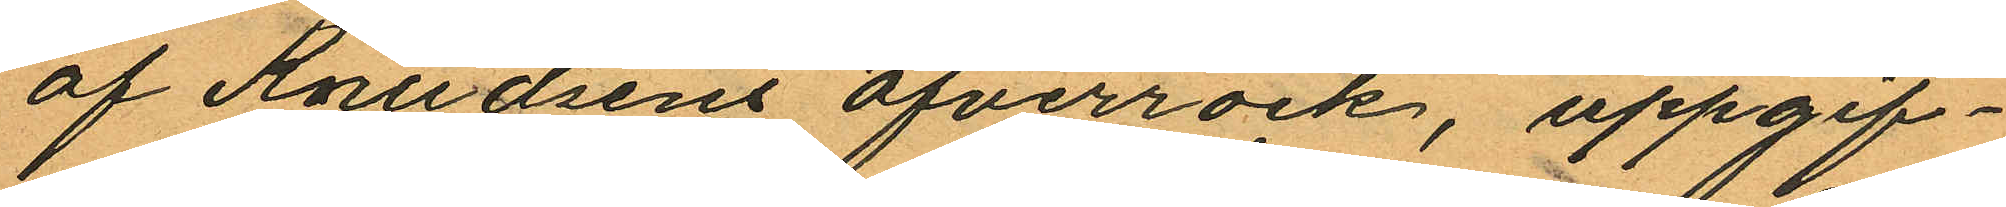af Knudsens öfverrock, uppgif¬
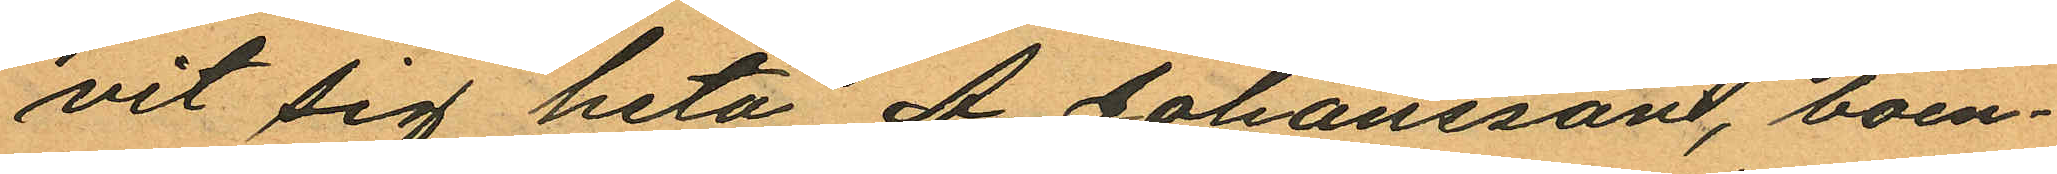vit sig heta A. Johansson, boen¬
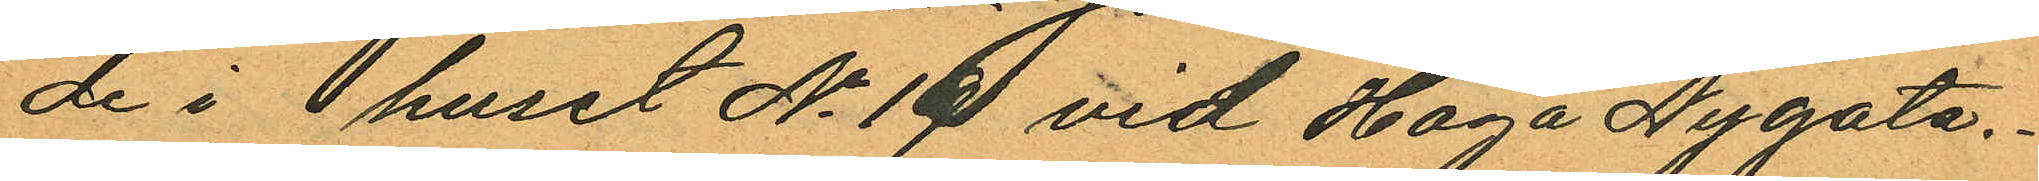de i  huset No 19 vid Haga Nygata.
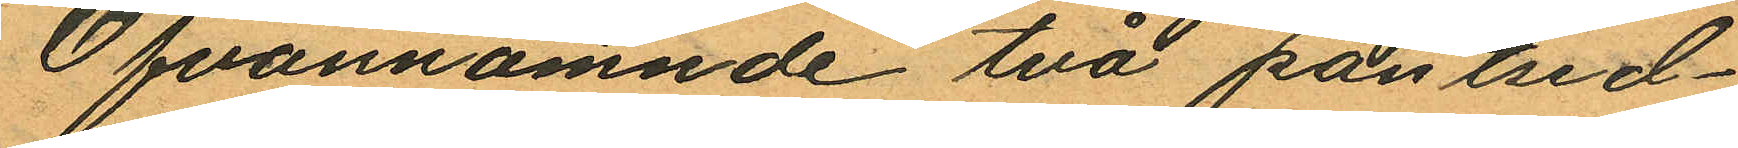Ofvannämnde två pantsed¬
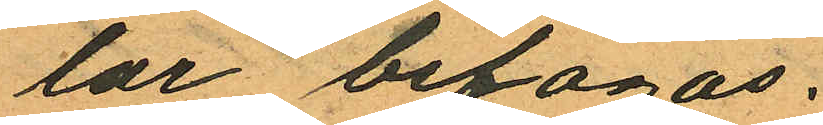lar bifogas.
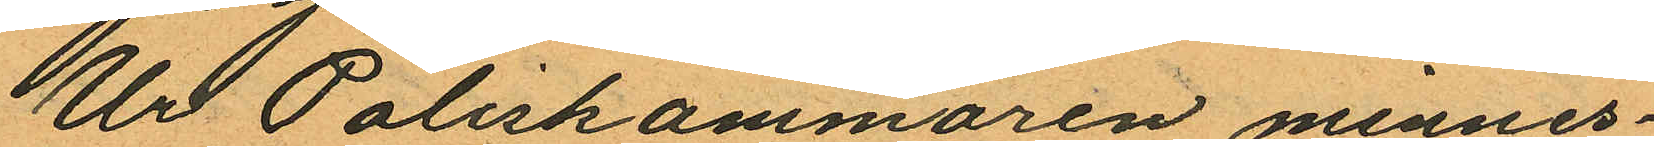Ur Poliskammaren minnes¬
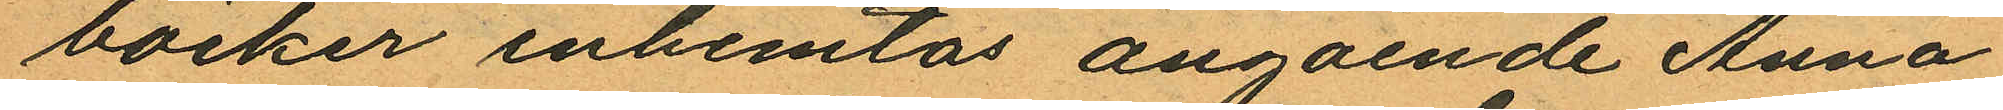böcker inhemtas angående Anna
